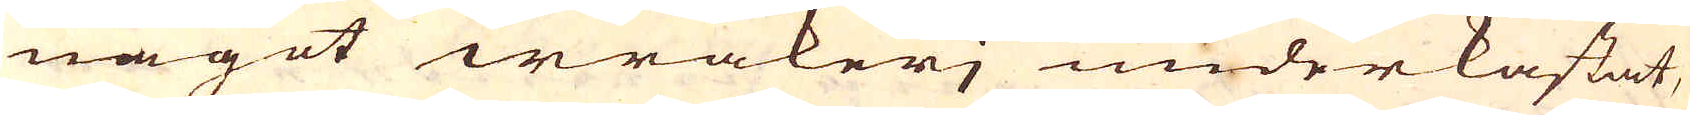något wräkeri underkastat,
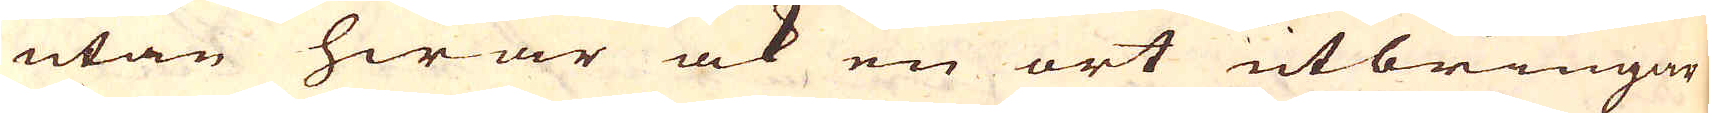utan hwar ock en ort utbringar
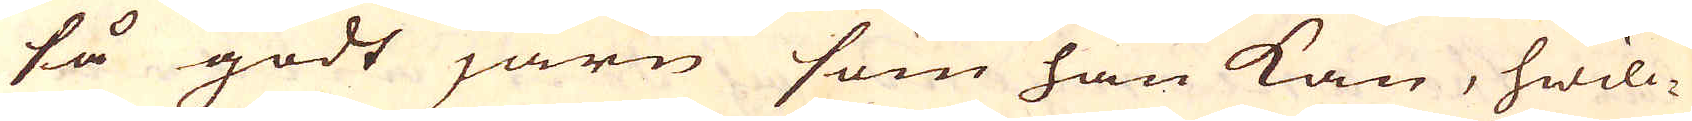så godt järn som han kan, hwilc-
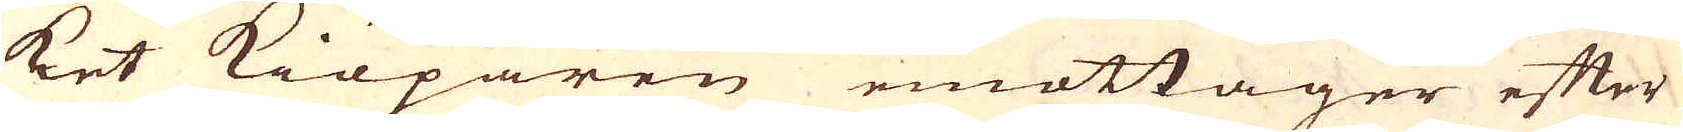ket kiöparen emottager efter
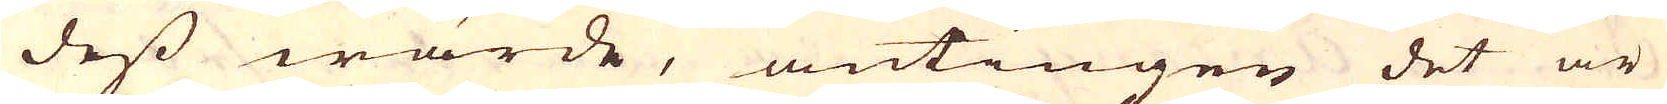dess wärde, antingen det är
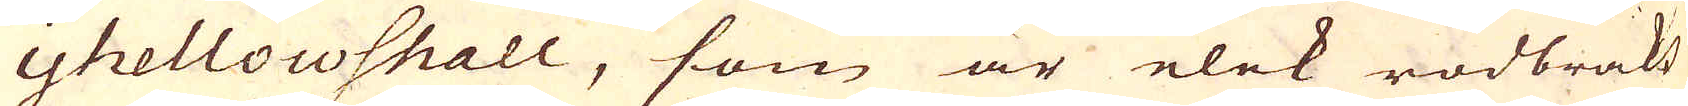yhellowshall, som är elak rödbräkt
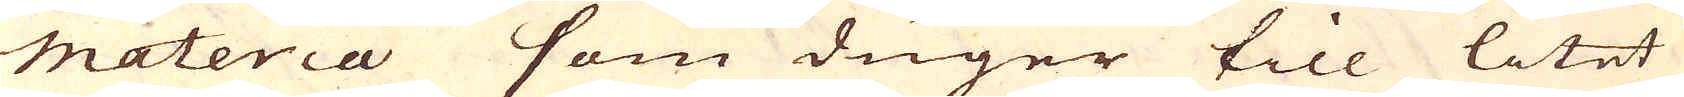materia som duger till litet
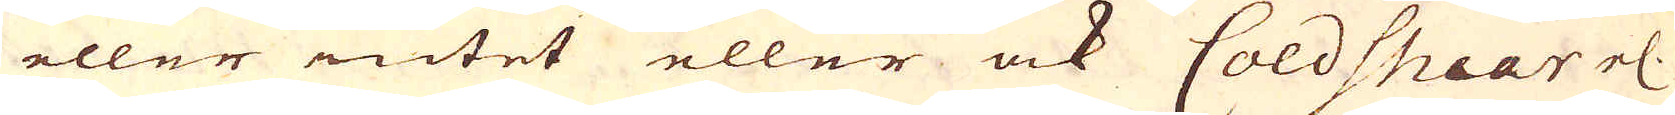eller intet eller ock Coldshear el.
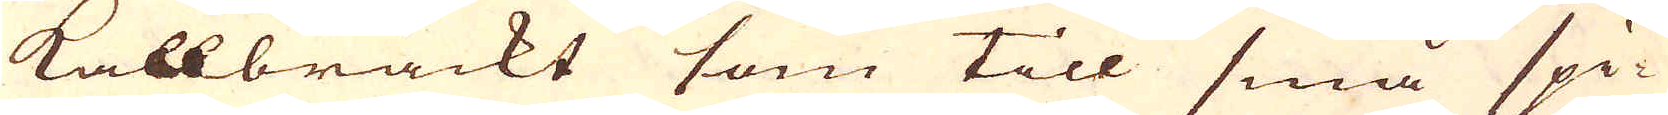kallbrackt som till små spi-
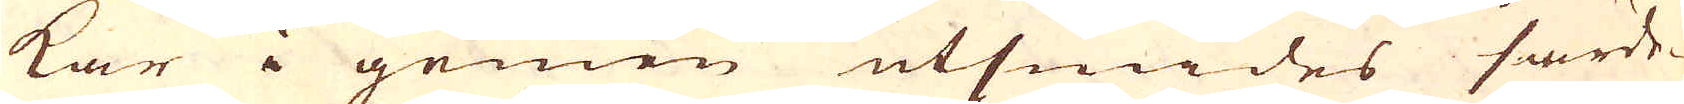kar i gemen utsmides särde-
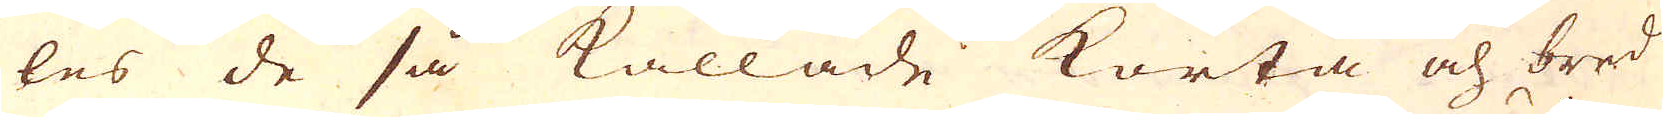les de så kallade korta och bred
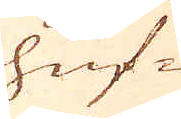huf-
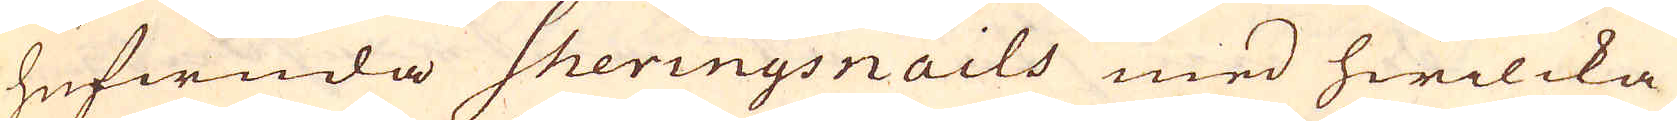hufwuda Sheringsnails med hwilcka
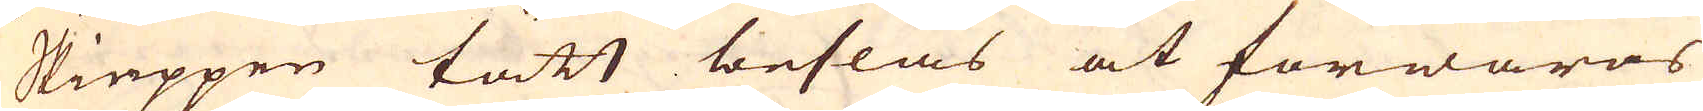Skieppen tätt beslås at förwaras
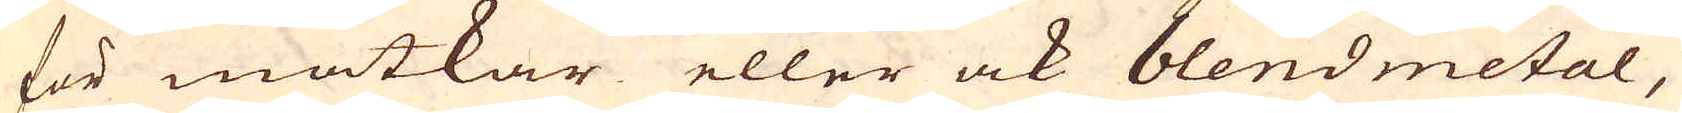för matkar eller ock blendmetal,
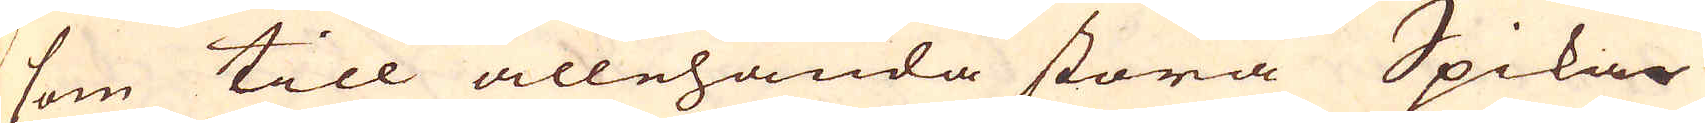som till allehanda stora Spikar
